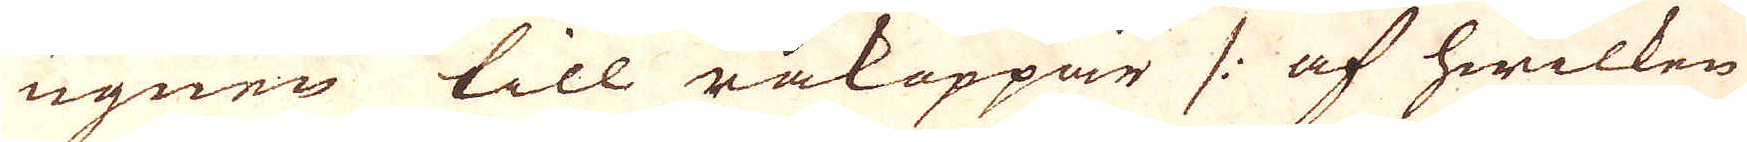ugnen till råkoppar /: af hwilken
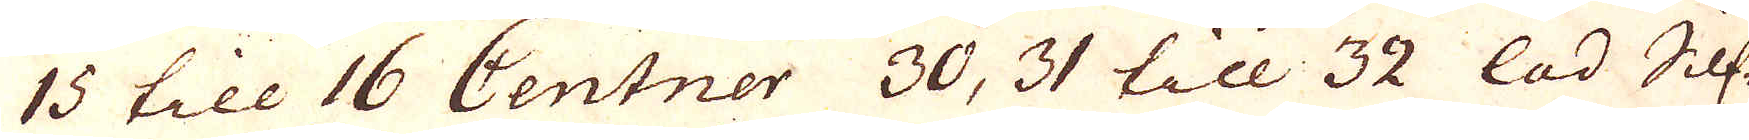15 till 16 Centner 30, 31 till 32 lad Silf-
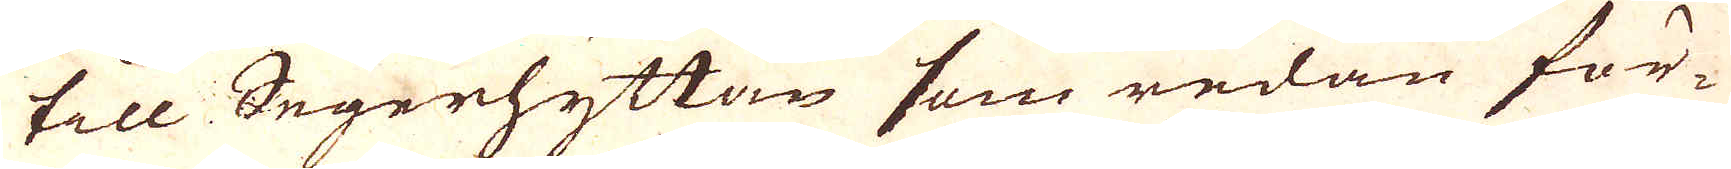till Segerhyttan som redan för-
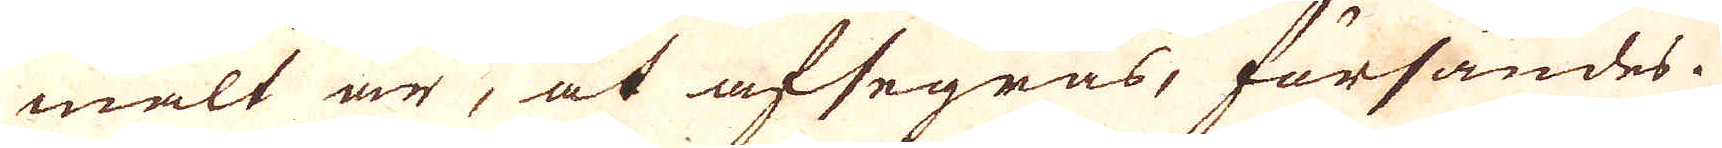mält är, at afsegras, försändes.
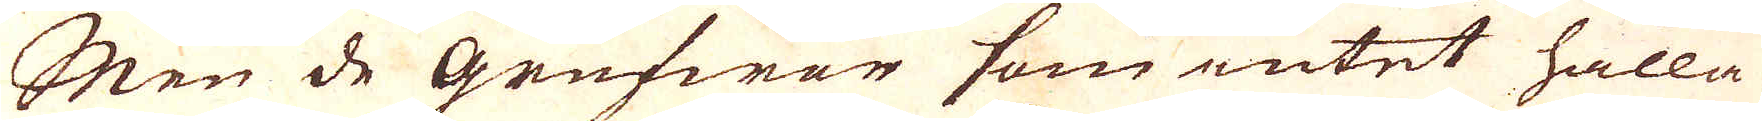Men de Grufwor som intet hålla
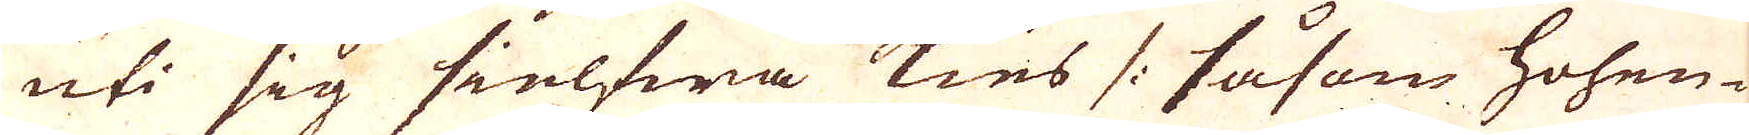uti sig sielfwa kies /: såsom Hohen-
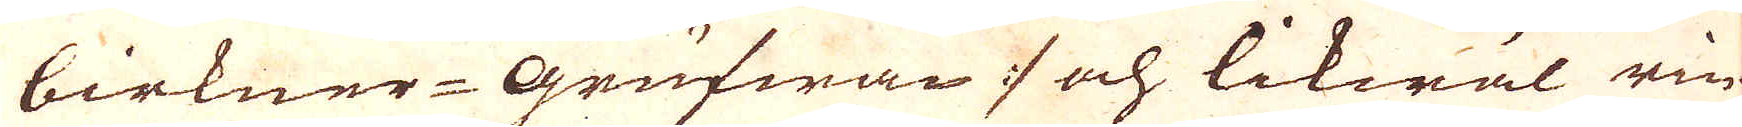birkner-Grufwan / och likwäl rin-
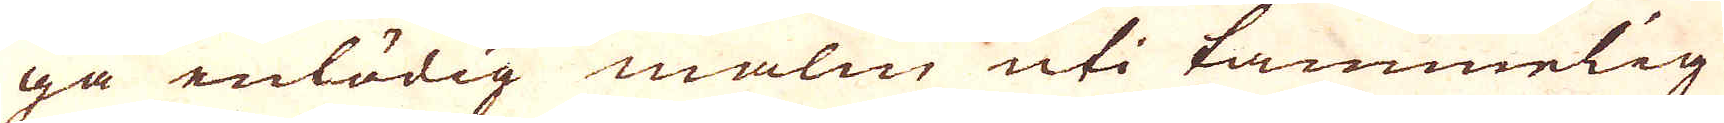ga enlödig malm uti tämmelig
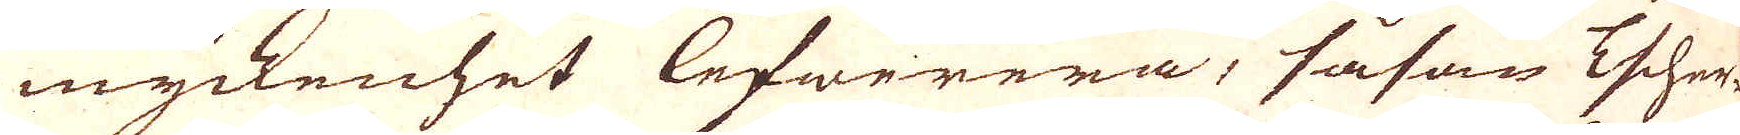myckenhet lefwerera, såsom Escher-
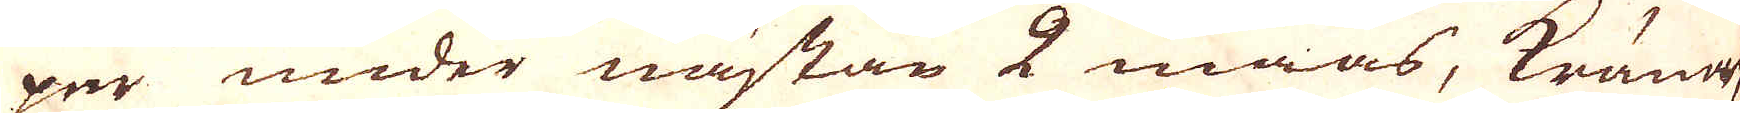per under nästan 2 maas, Kroner,
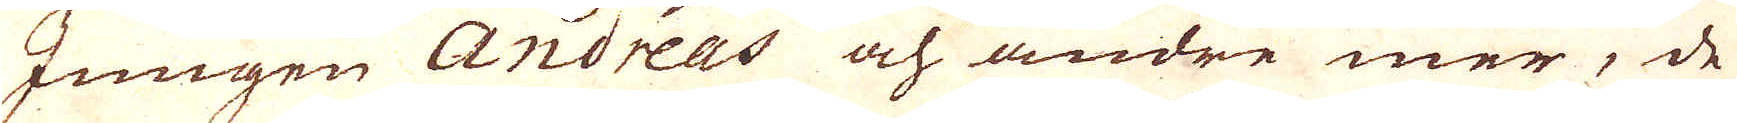Jungen Andreas och andre mer, de
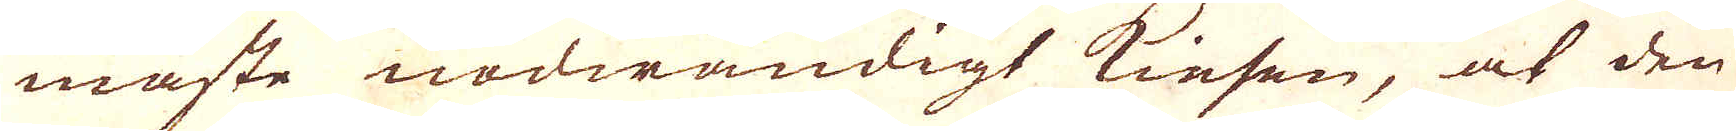måste nödwändigt kiesen, at den
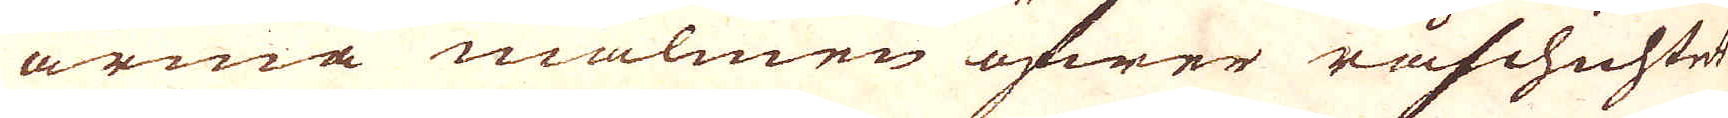arma malmen öfwer råschichtet
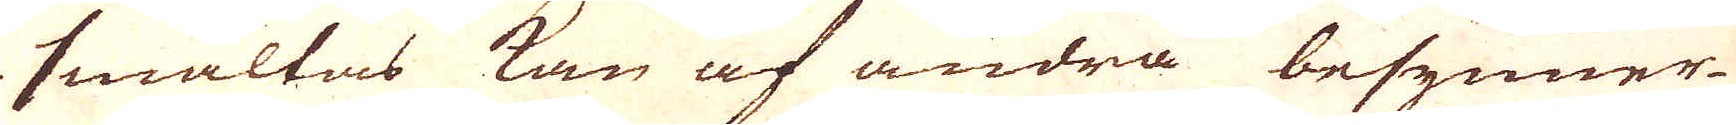smältas kan af andra besynner-
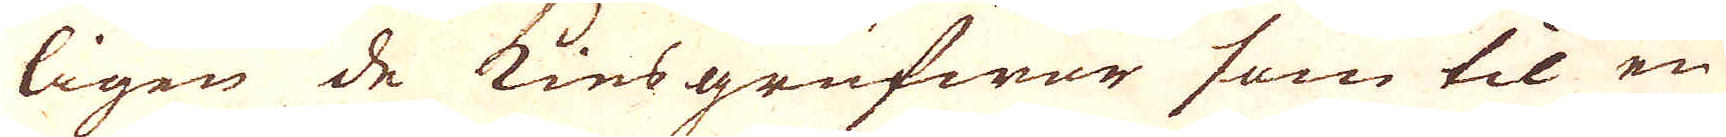ligen de kiesgrufwor som til en
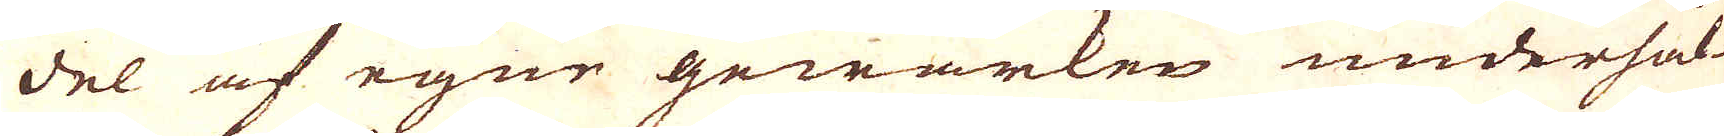del af egne gewärken underhål-
